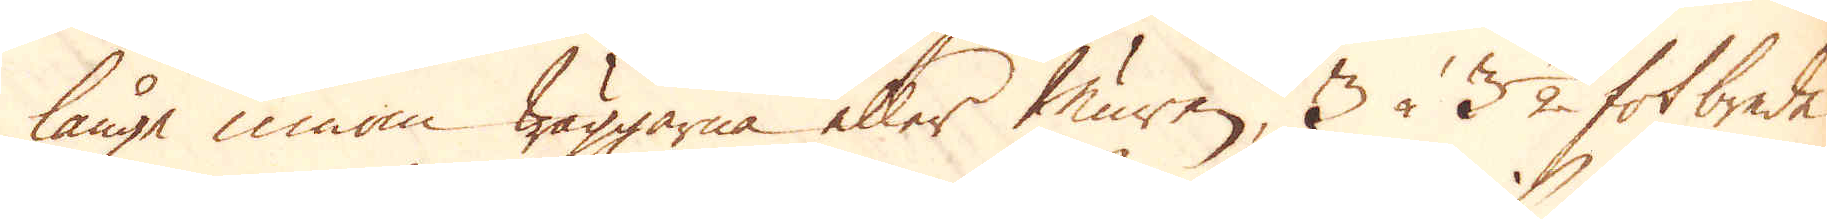långa innom wäggarna eller Muren, 3 à 3 1/2 fot brede
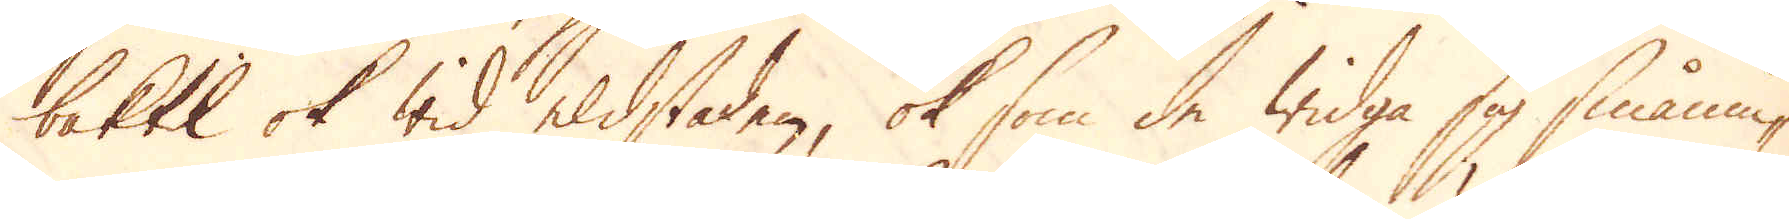baktil ok wid eldstaden, ok som de widga sig smånin-
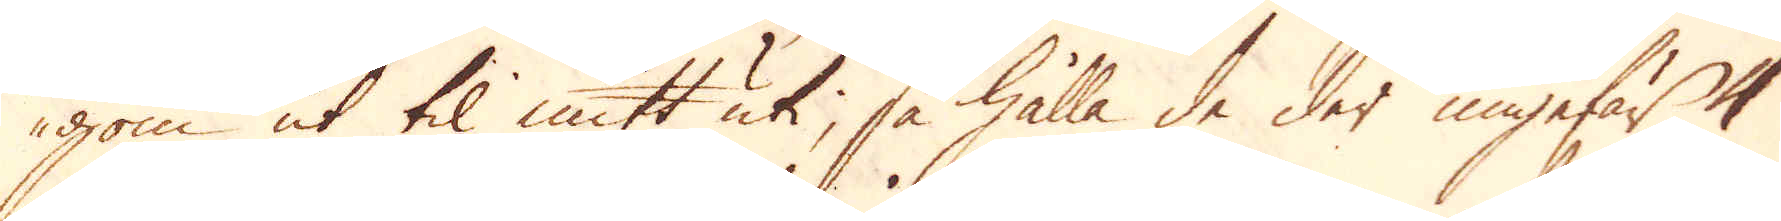gom ut til mitt uti, så hålla de der ungefär 4
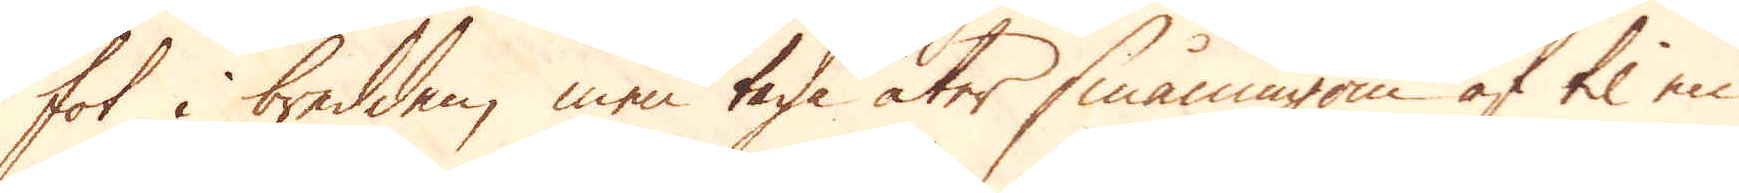fot i bredden, men taga åter småningom af til en
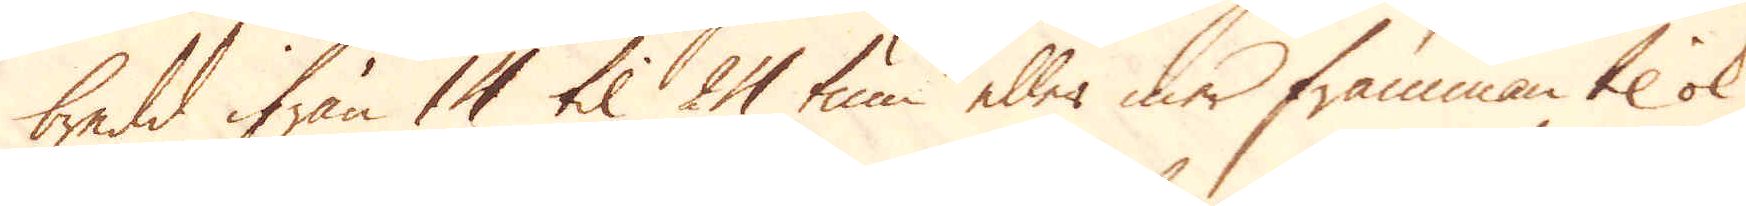bredd ifrån 14 til 24 tum eller mer framman til ok
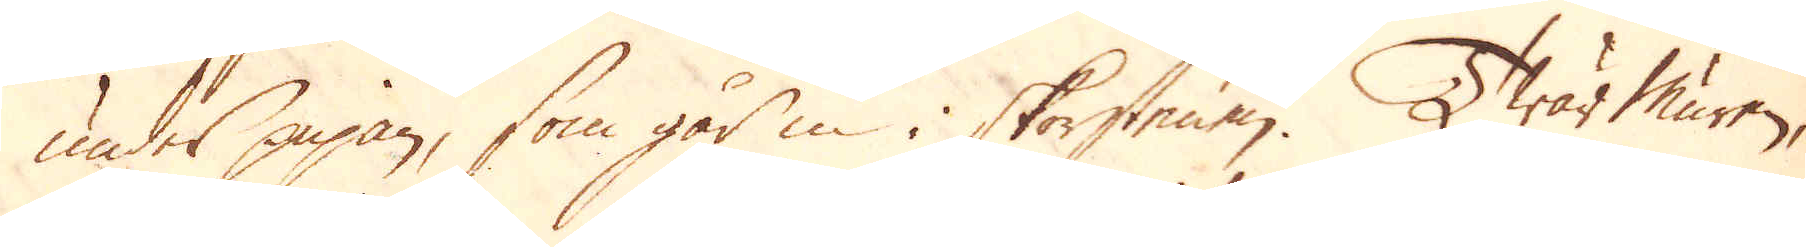under pipan, som går in i skorstenen. Twär muren,
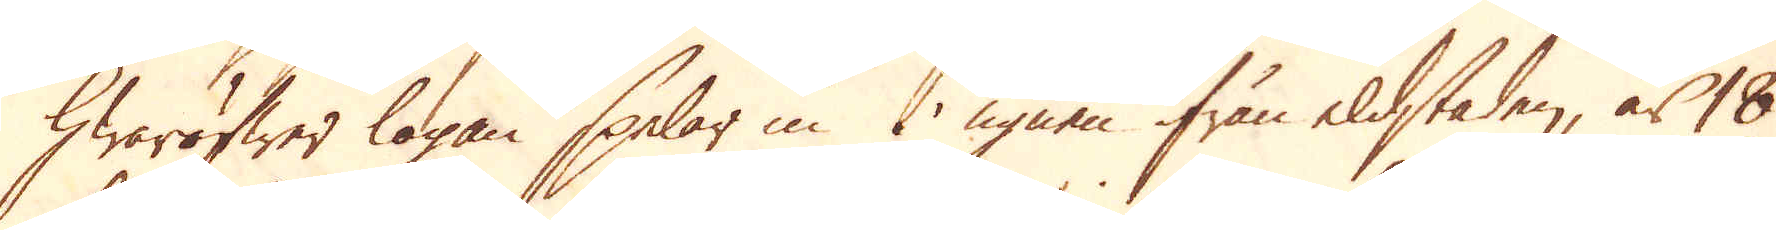hwaröfwer logan spelar in i ugnen ifrån eldstaden, är 18
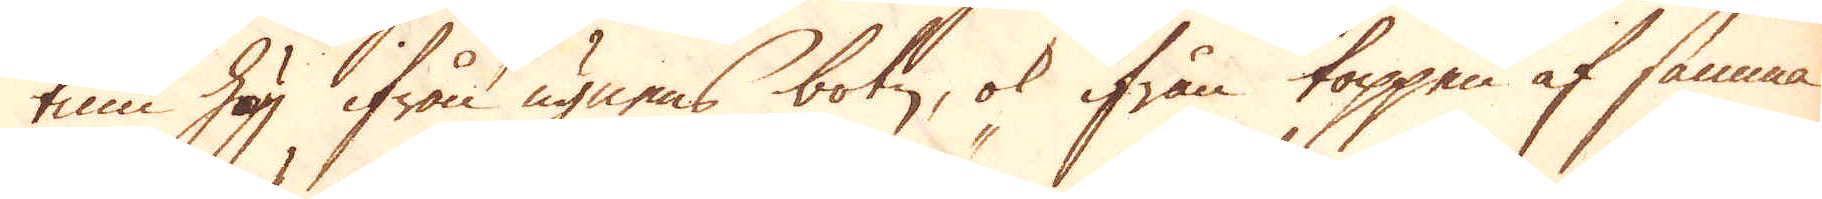tum hög ifrån ugnens botn, ok ifrån toppen af samma
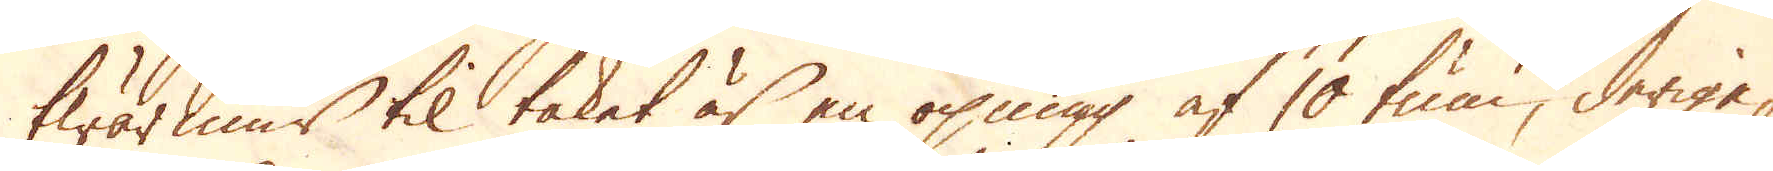twär mur til taket är en öpning af 10 tum, derige-
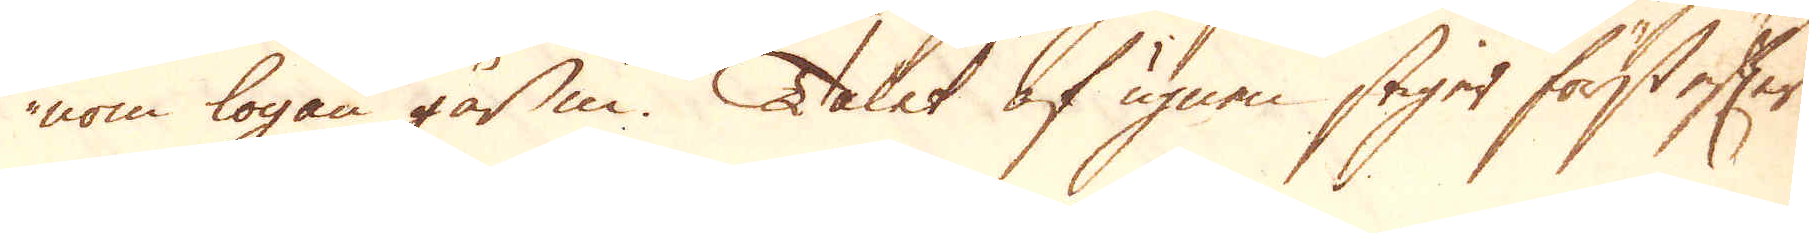nom logan går in. Taket af ugnen stiger först efter
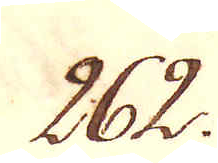262.
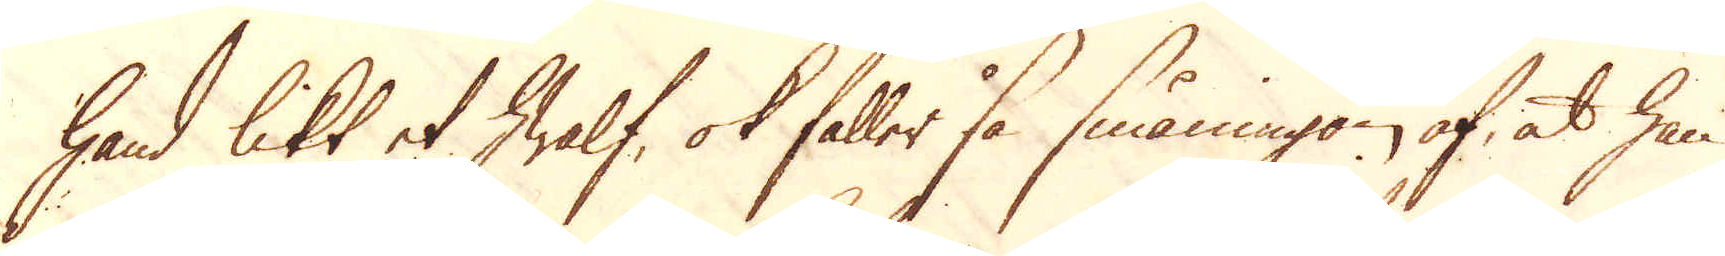hand likt et hwalf, ok faller så småningom af, at han
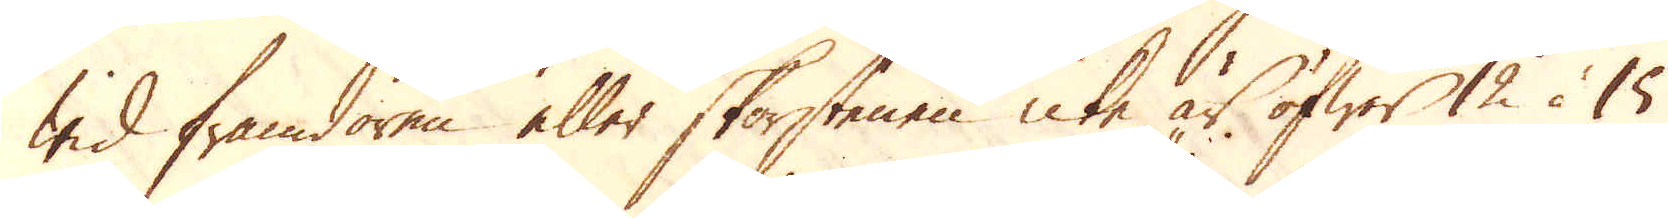wid framdören eller skorstenen icke är öfwer 12 à 15
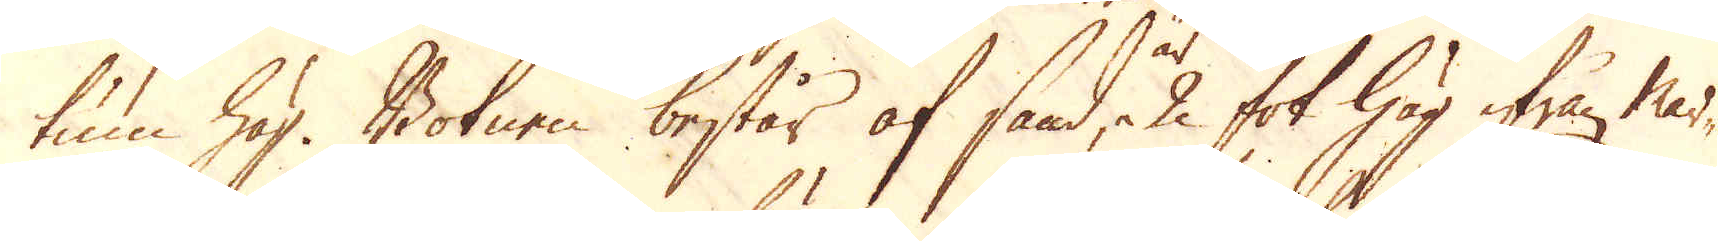tum hög. Botnen består af sand, 2 fot hög ifrån mar-
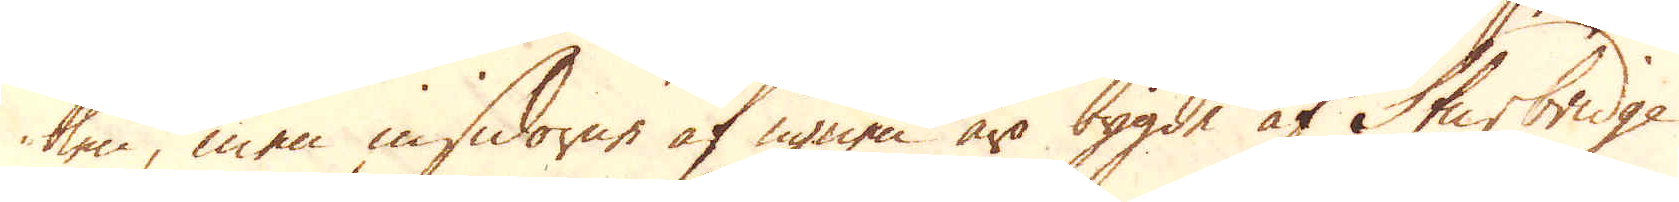ken, men insidorne af ugnen äro bygde af Sturbridge
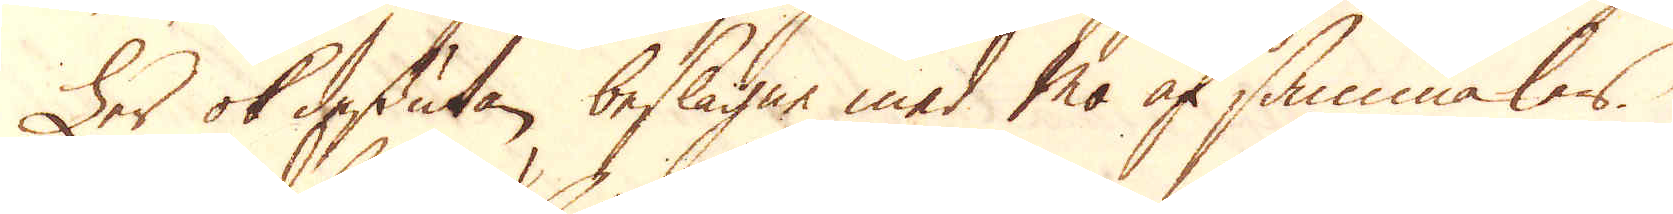Ler ok dessutan beslagne med mo af samma lers.
